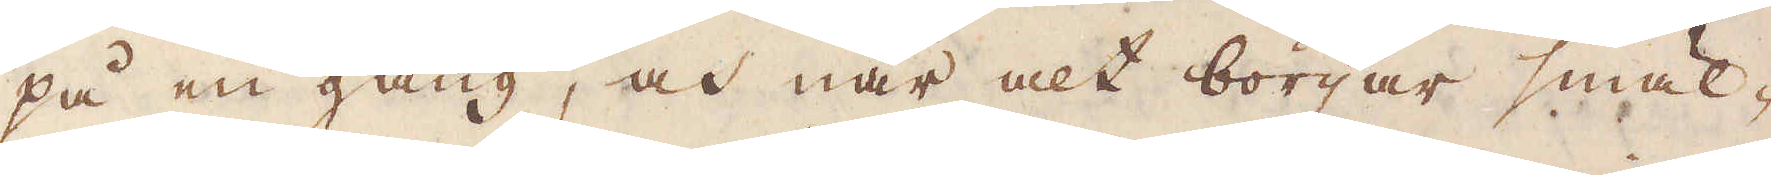på en gång, och när alt börjar smäl-
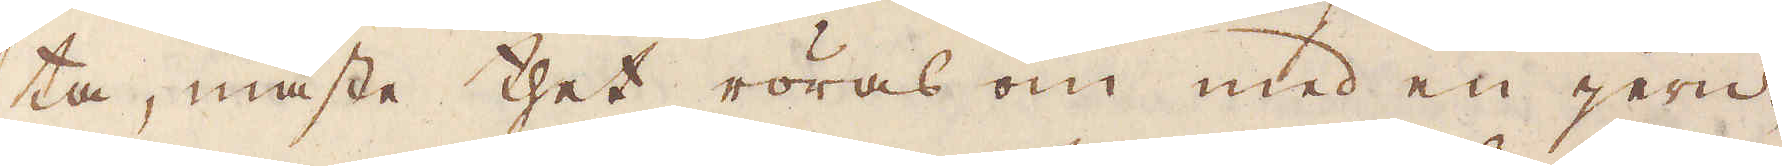ta, måste thet röras om med en jern-
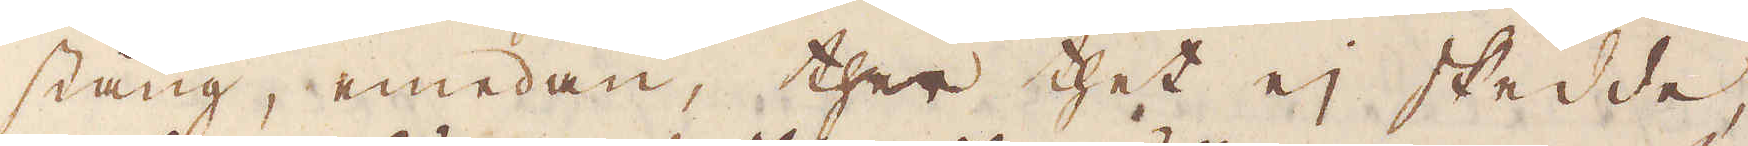stång, emedan, ther thet ej skedde,
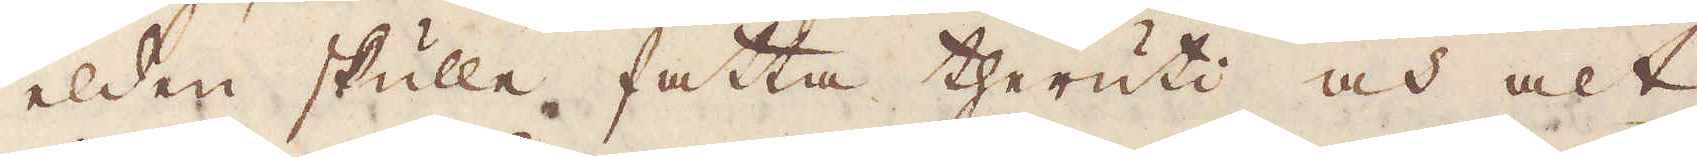elden skulle fatta theruti och alt
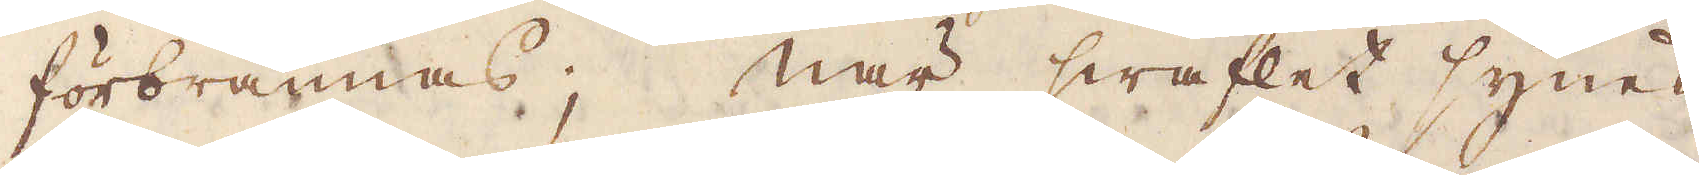förbrännas; När swaflet synes
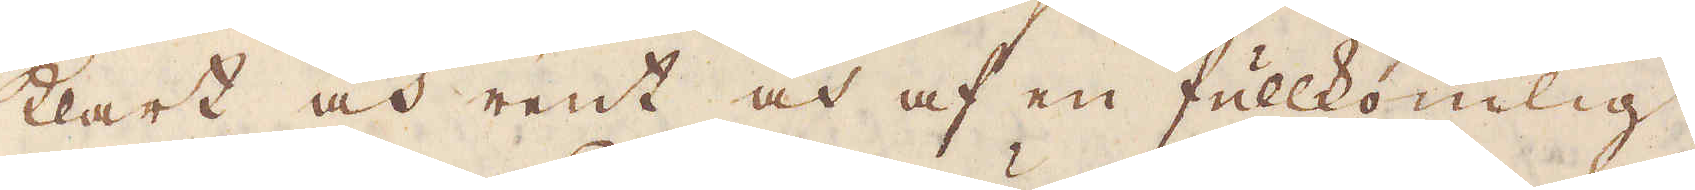klart och rent och af en fullkomlig
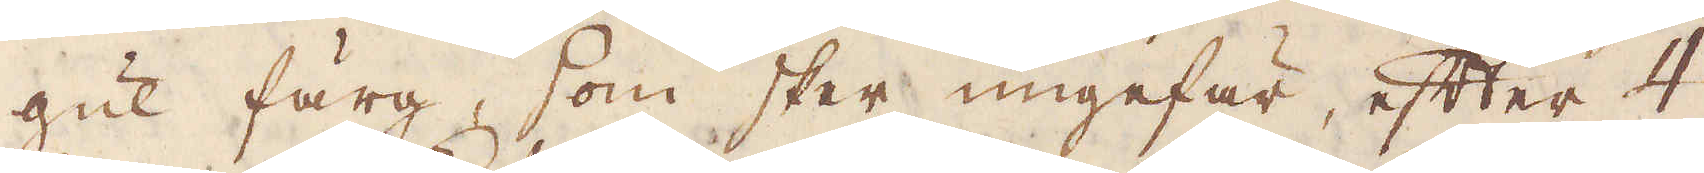gul färg, som sker ungefär, efter 4
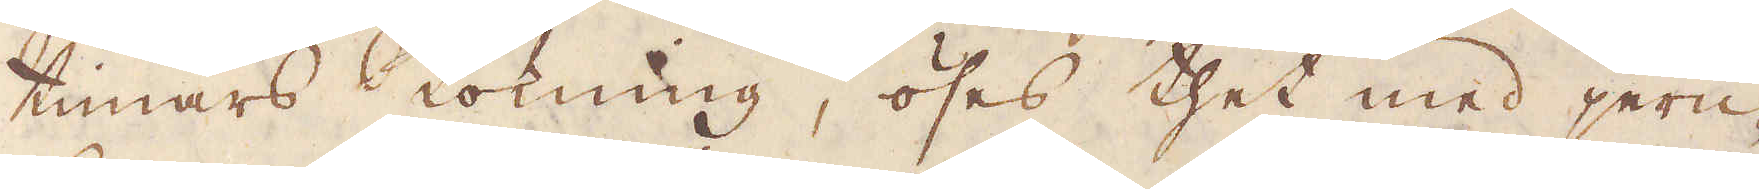timars Kokning, öses thet med jern-
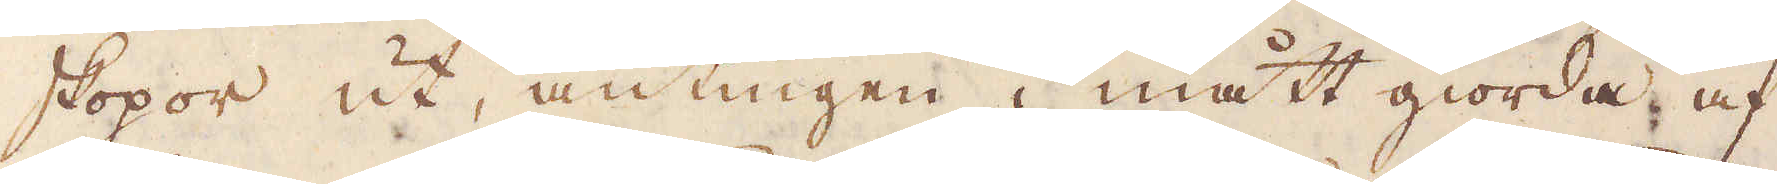skopor ut, antingen i mått giorda af
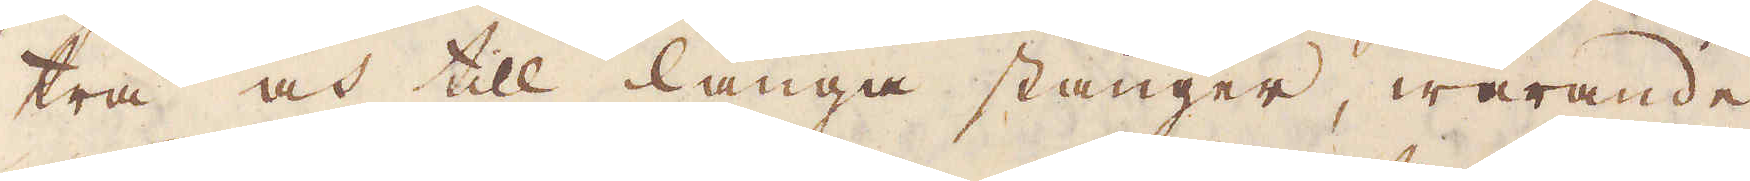trä och till långa stänger, warande
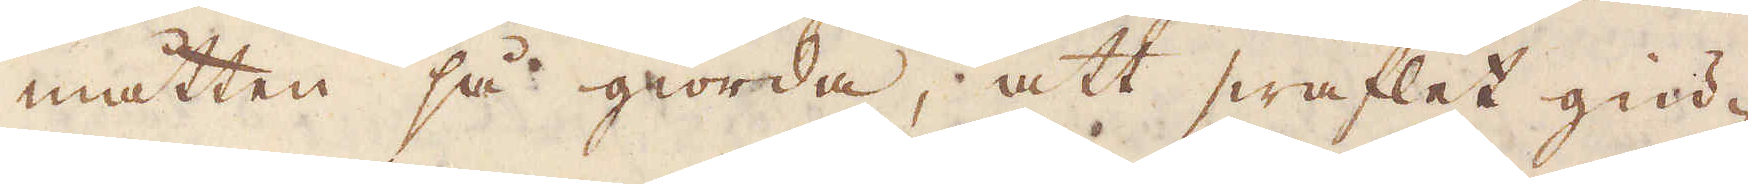måtten så giorda, att swaflet giu-
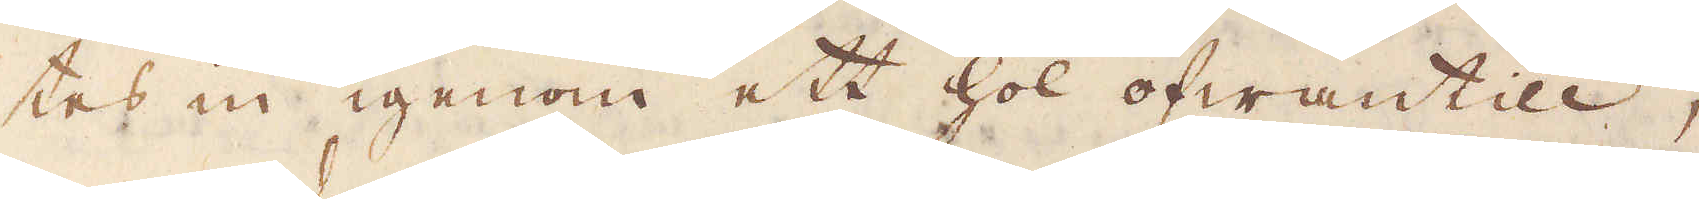tes in igenom ett hol ofwantill,
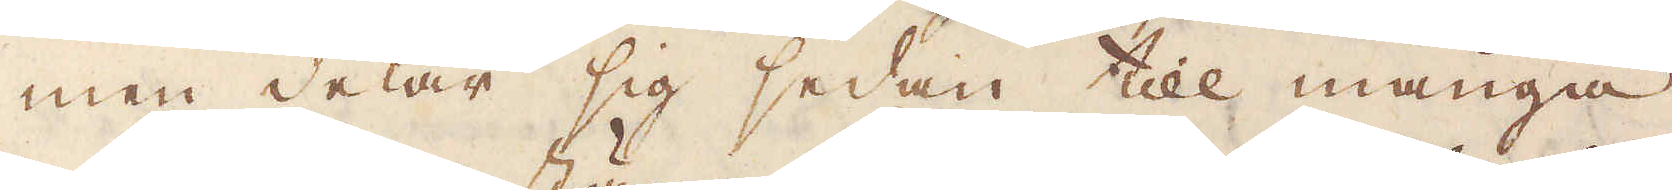men delar sig sedan till många
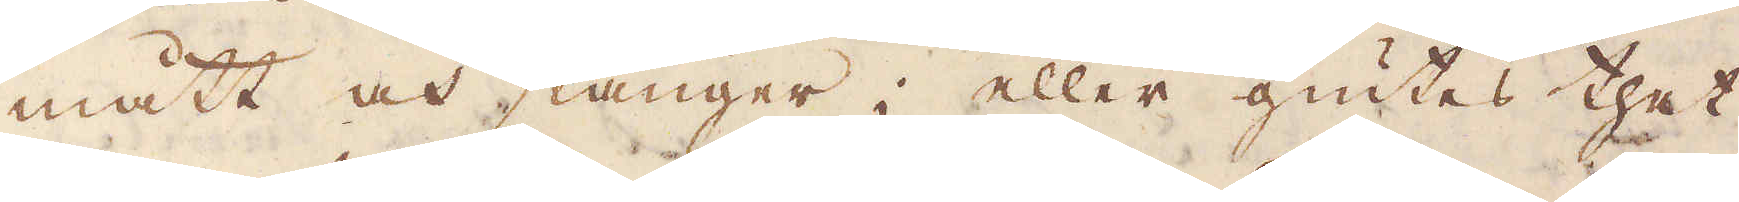mått och stänger; eller giutes thet
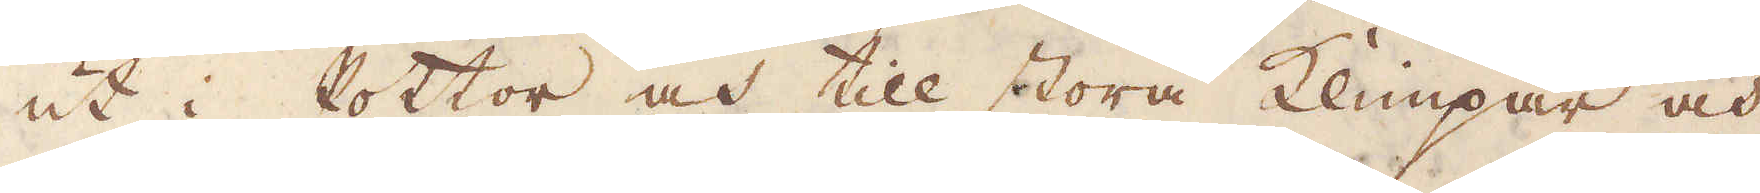ut i Pottor och till stora klimpar och
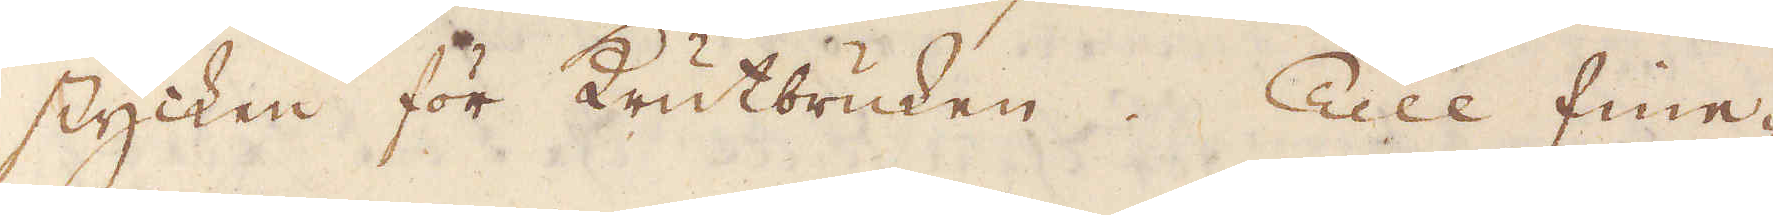stycken för Krutbruken. Till fine-
